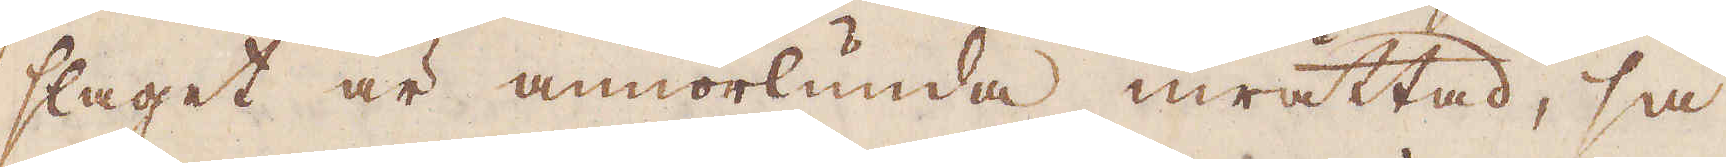slaget är annorlunda inrättad, så
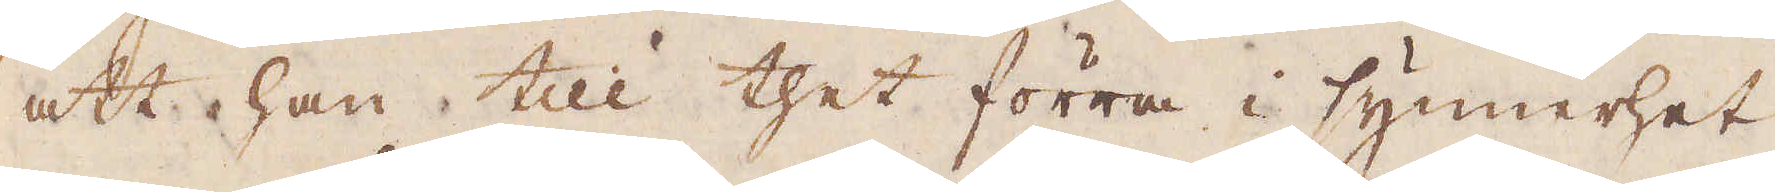att han till thet förra i synnerhet,
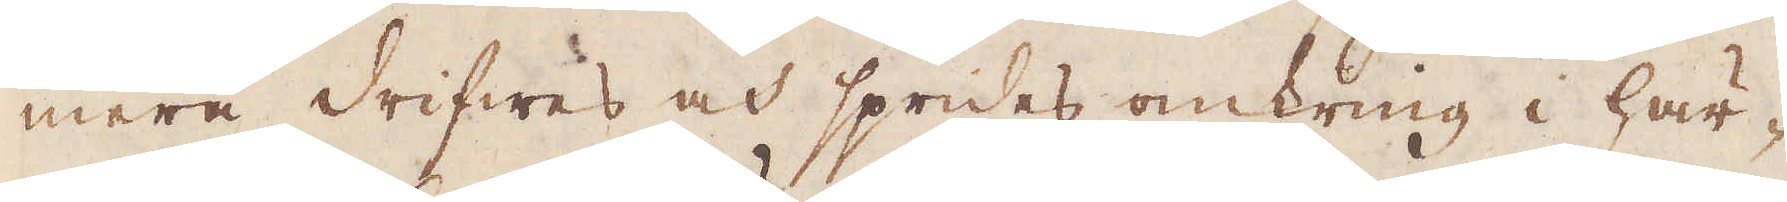mera drifwes och sprides omkring i här-
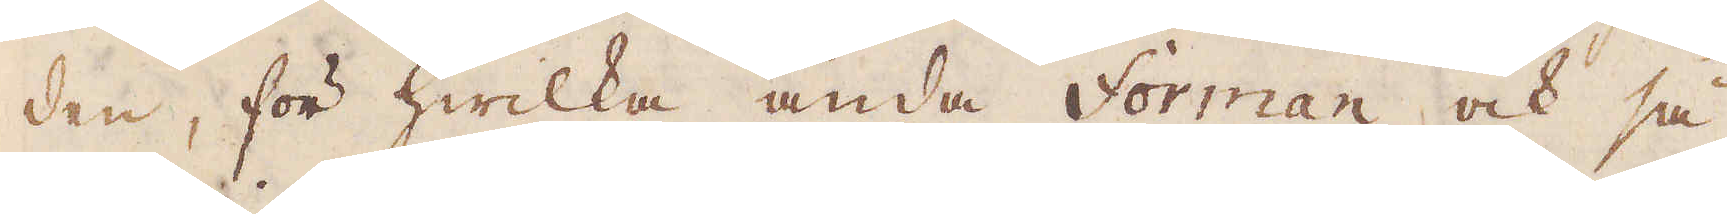den, för hwilka ända Forman också
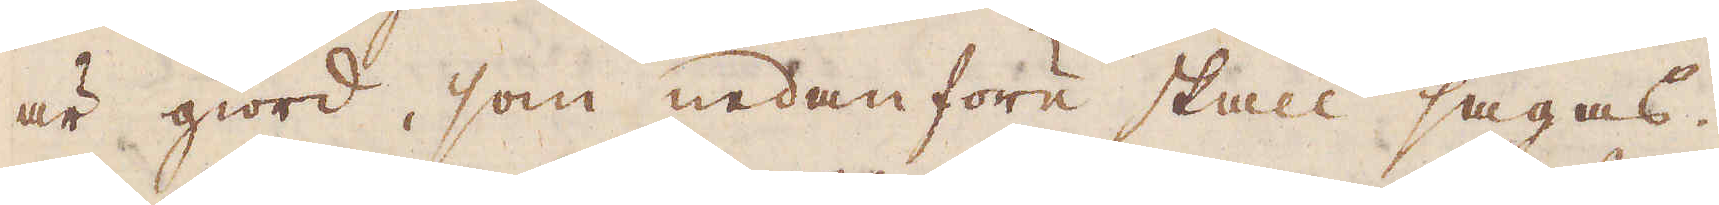är giord, som nedanföre skall sägas.
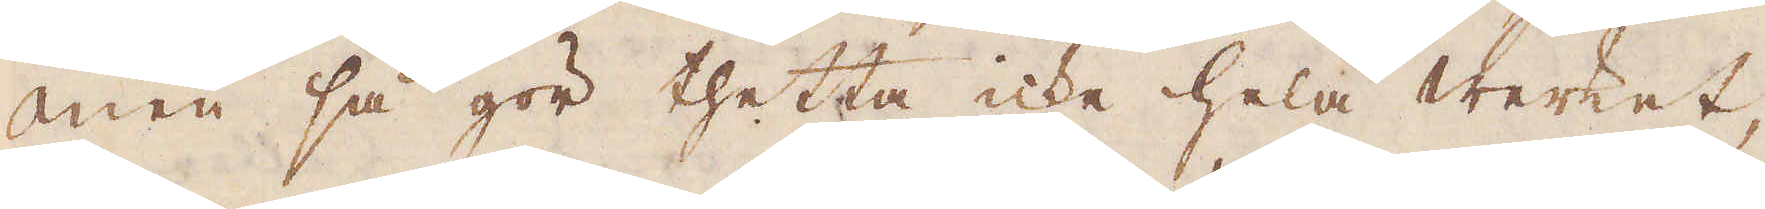Men så gör thetta icke hela werket,
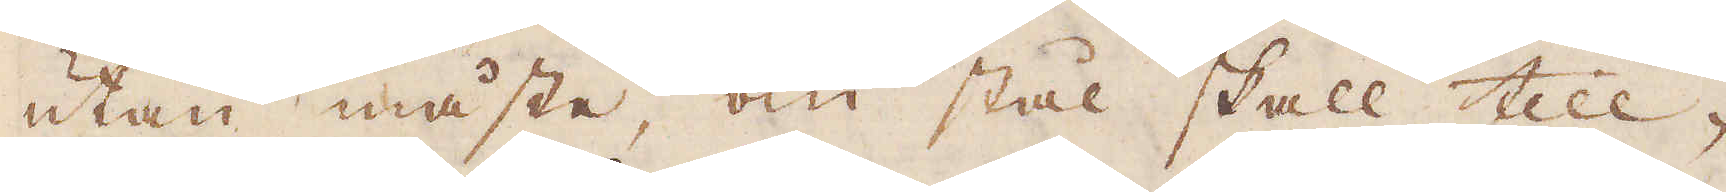utan måste, om stål skall till-
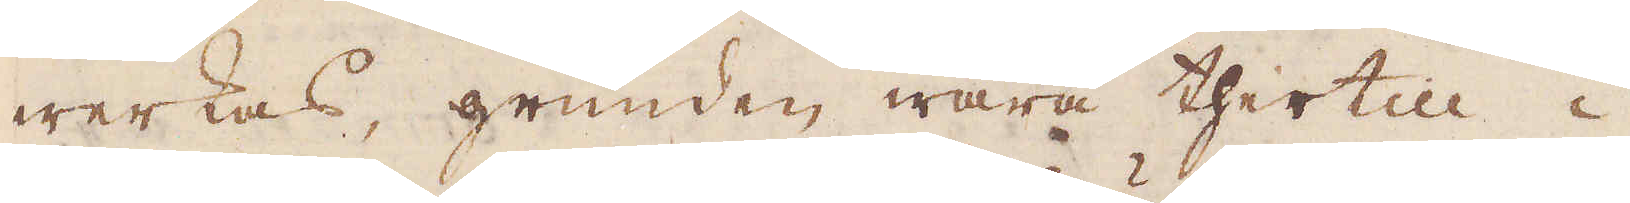werkas, grunden wara thertill i
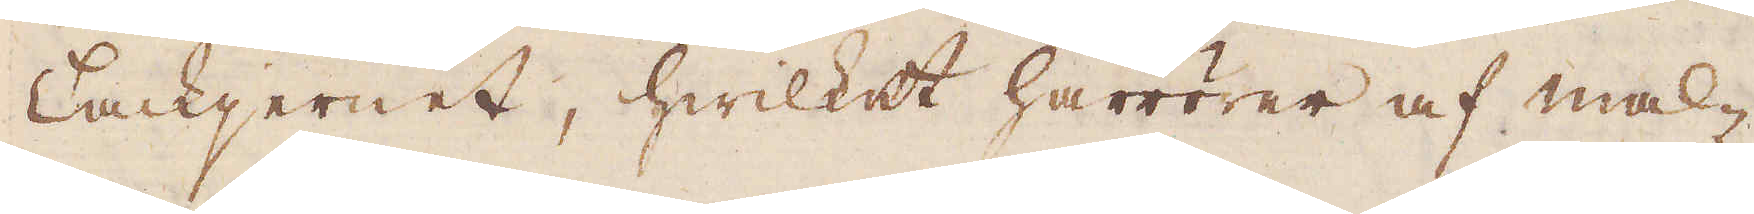Tackjernet, hwilket härrörer af mal-
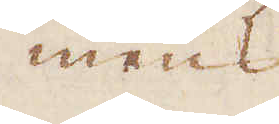mens
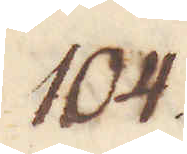104.
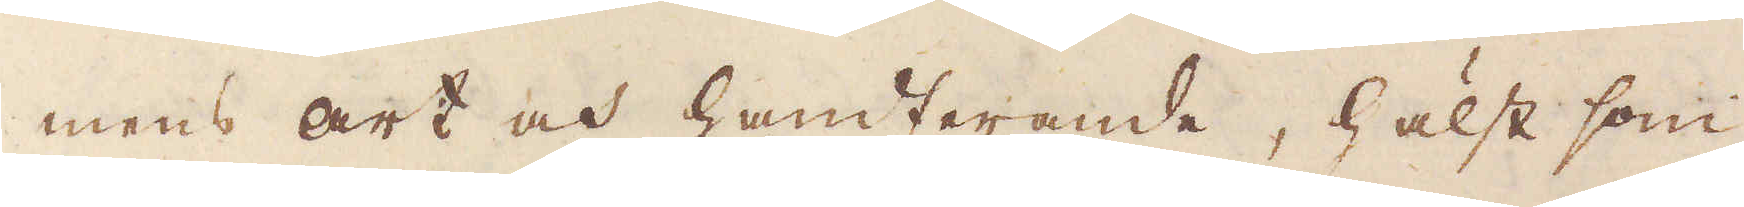mens art och handterande, hälst som
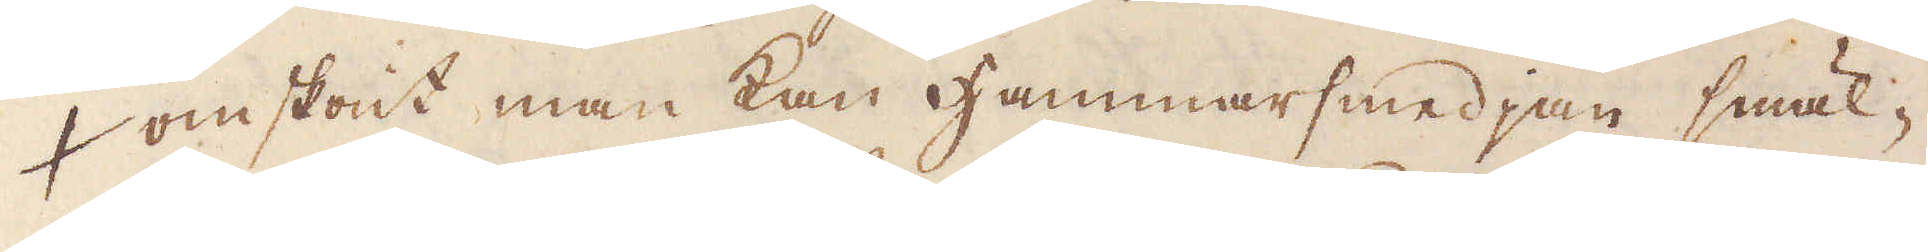omskönt man kan Hammarsmedjan smäl-
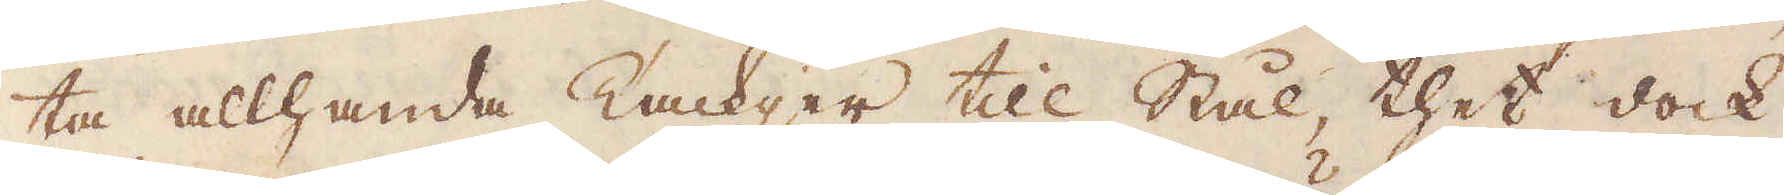ta allhanda Tackjer till Stål, thet dock
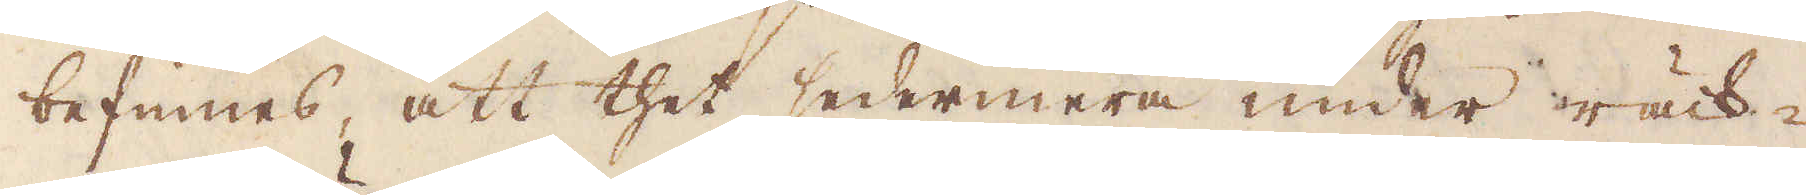befinnes, att thet sedermera under räck-
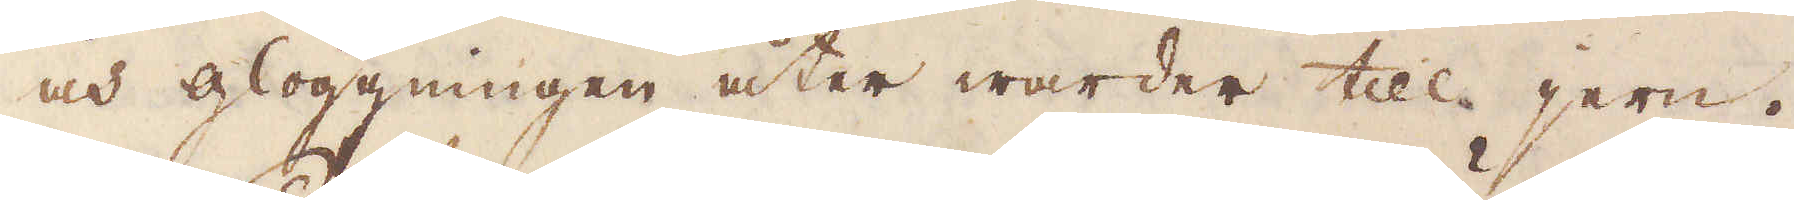och glöggningen åter warder till jern.
